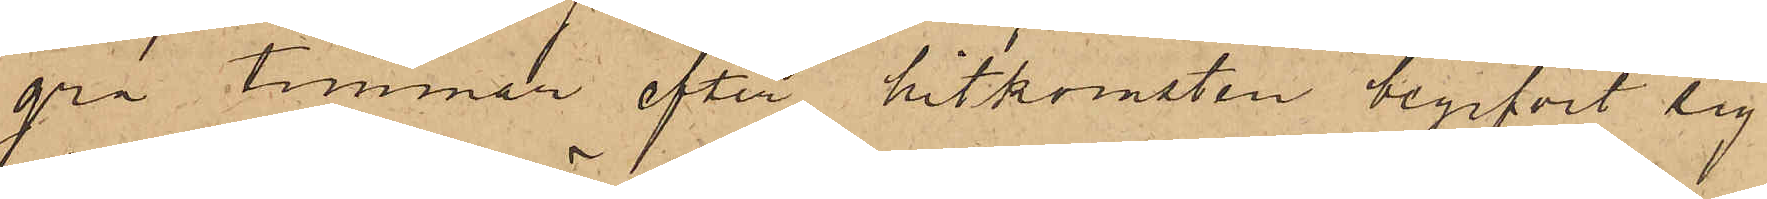gra timmar efter hitkomsten begifvit sig
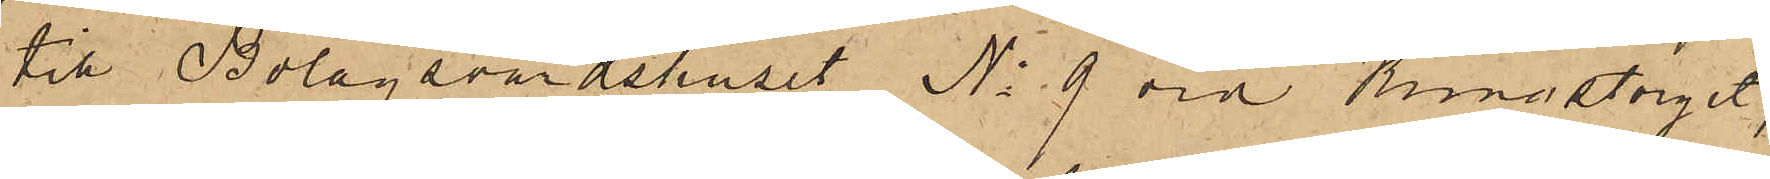till Bolagsvärdshuset No 9 vid Kungstorget,
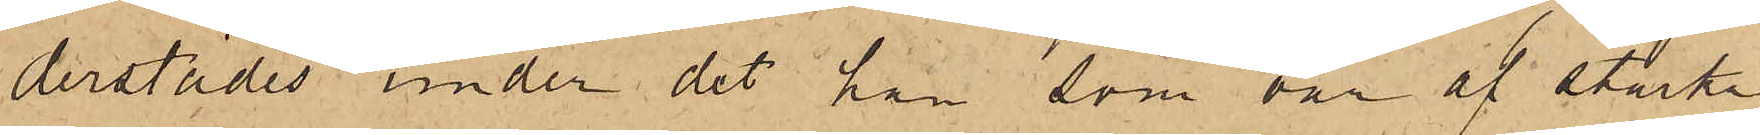derstädes under det han som var af starka
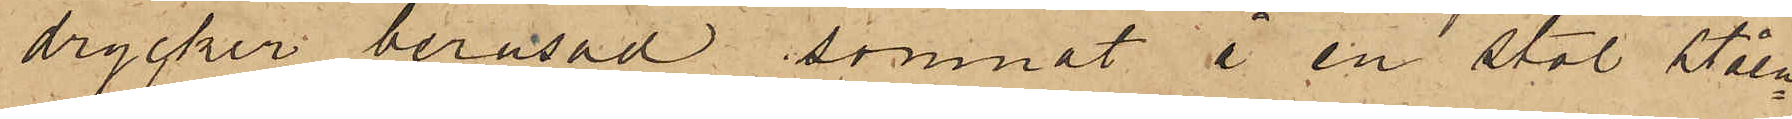drycker berusad somnat i en stol, ståen¬
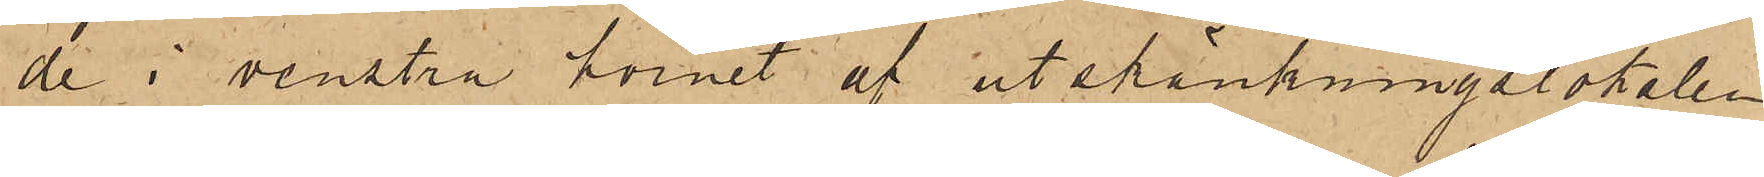de i venstra hörnet af utskänkningslokalen
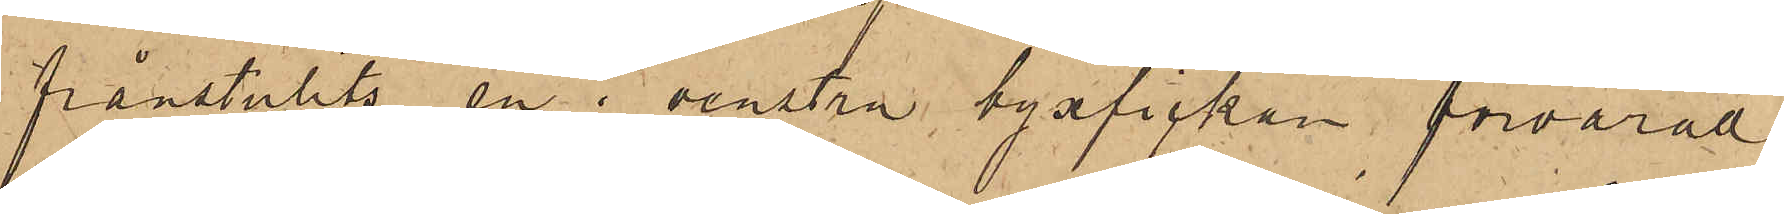frånstulits en i venstra byxfickan förvarad
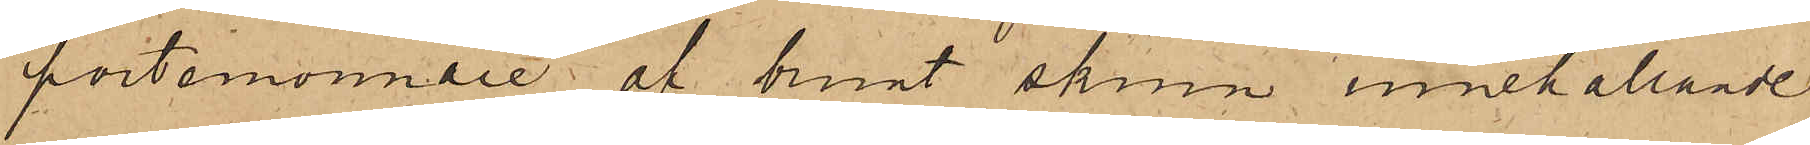portemonnaie af brunt skinn innehållande
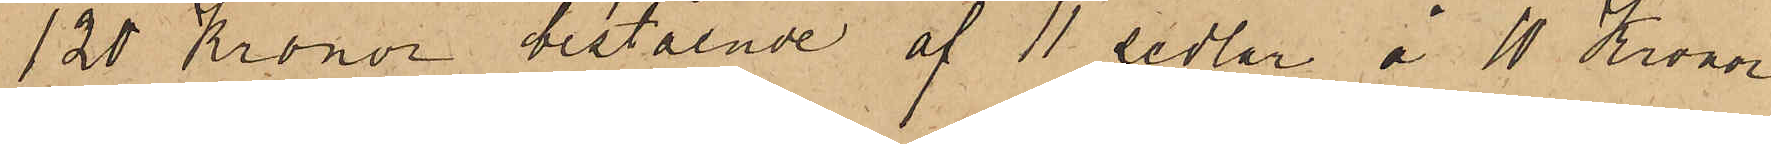120 Kronor bestående af 11 sedlar å 10 Kronor
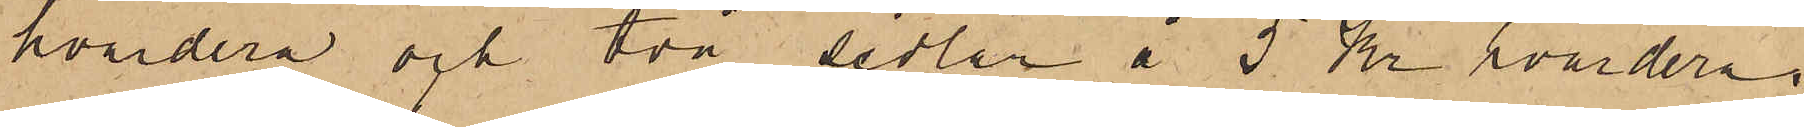hvardera och två sedlar å 5 Kr hvardera,
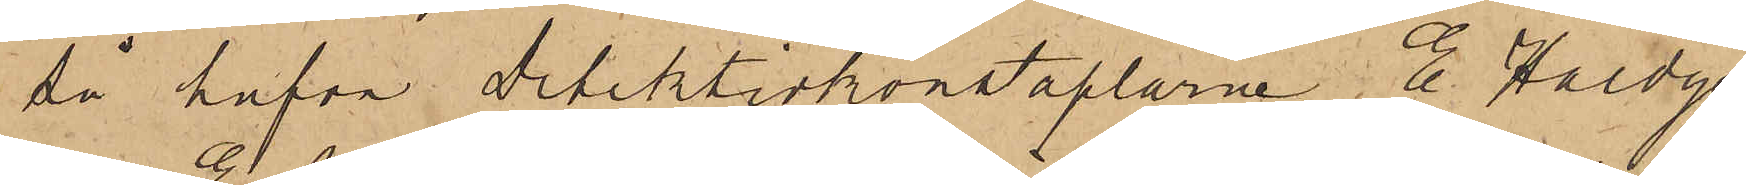så hafva detektivkonstaplarne E. Hoedge
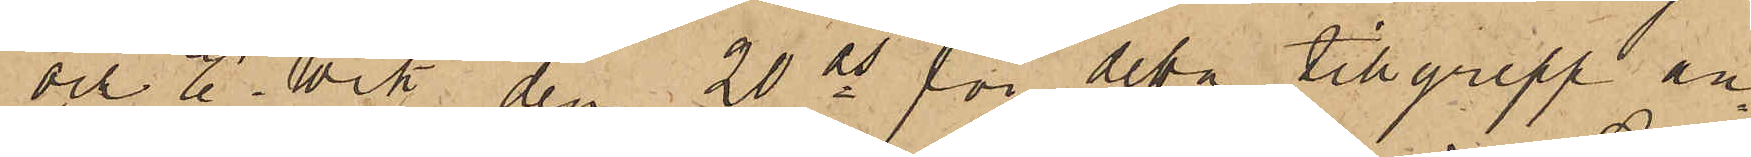och E. Wik den 20 ds för detta tillgrepp an¬
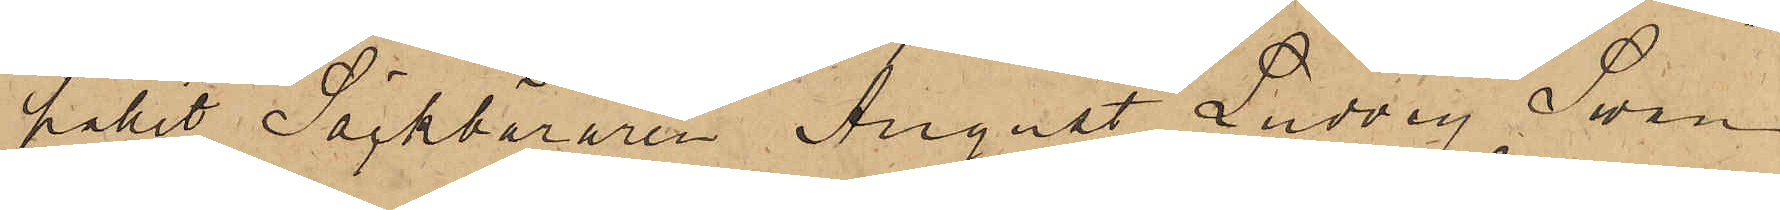hållit Säckbäraren August Ludvig Swan
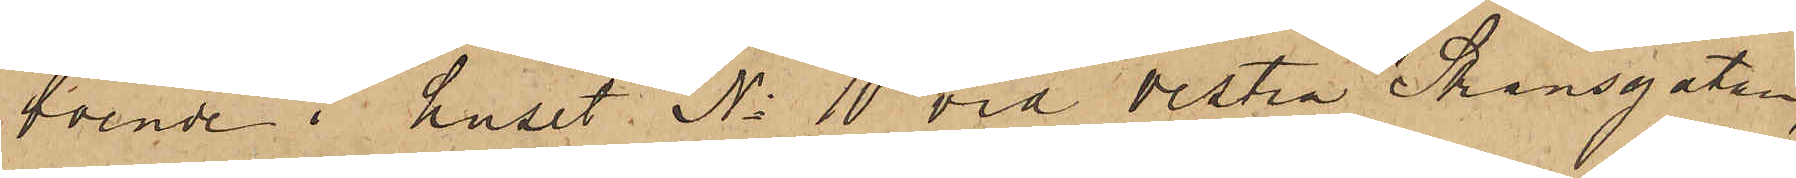boende i huset No 10 vid Vestra Skansgatan,
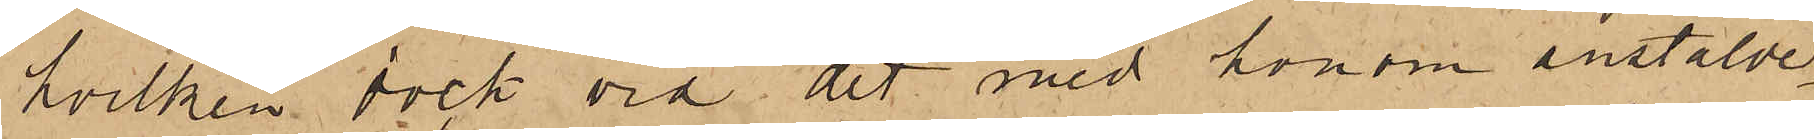hvilken dock vid det med honom anstälde
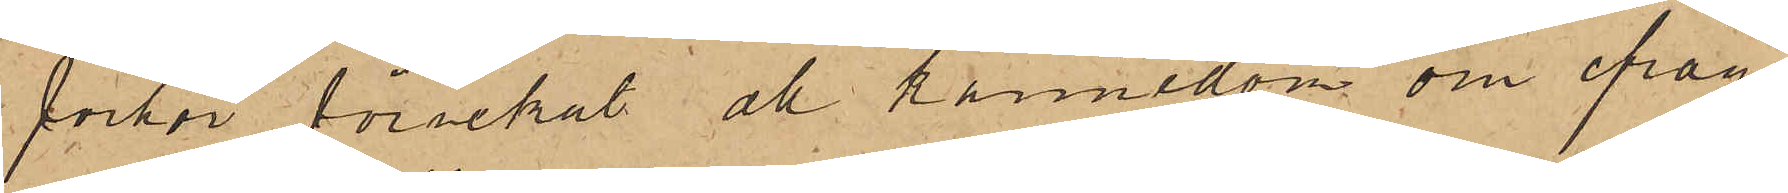förhör förnekat all kännedom om ifråga¬
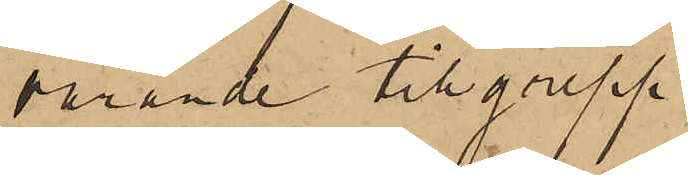varande tillgrepp.
